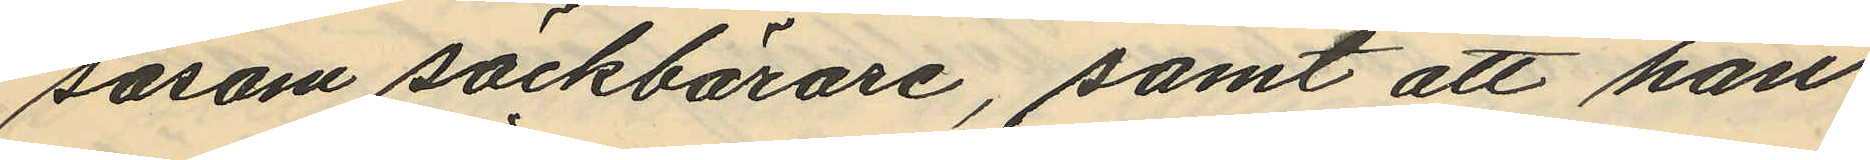såsom säckbärare, samt att han
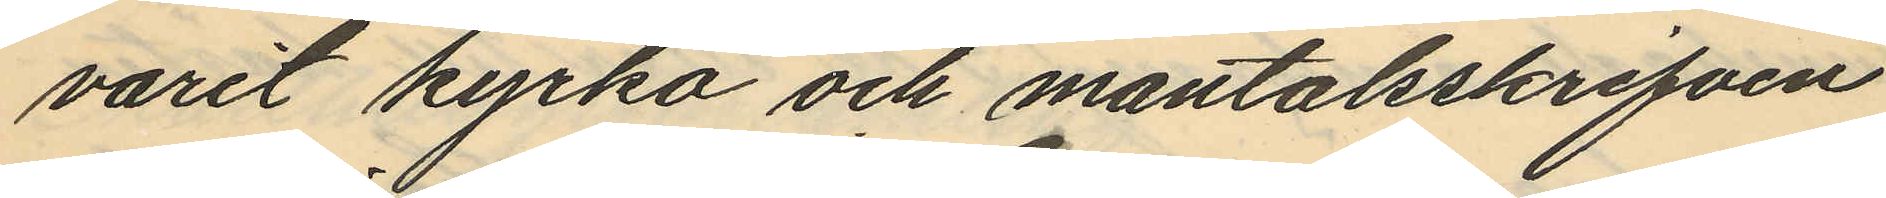varit kyrko och mantalsskrifven
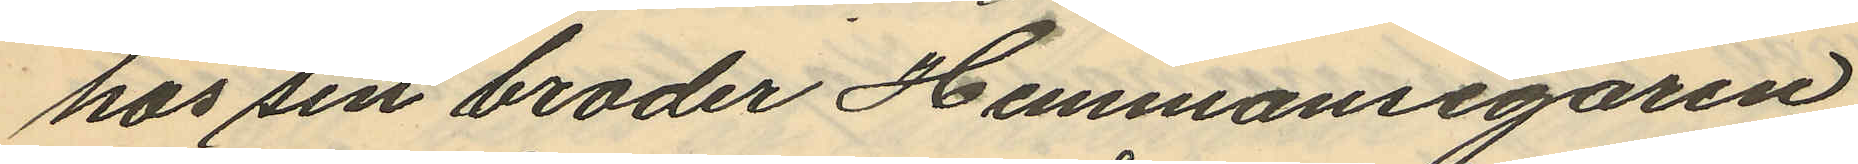hos sin broder Hemmansegaren
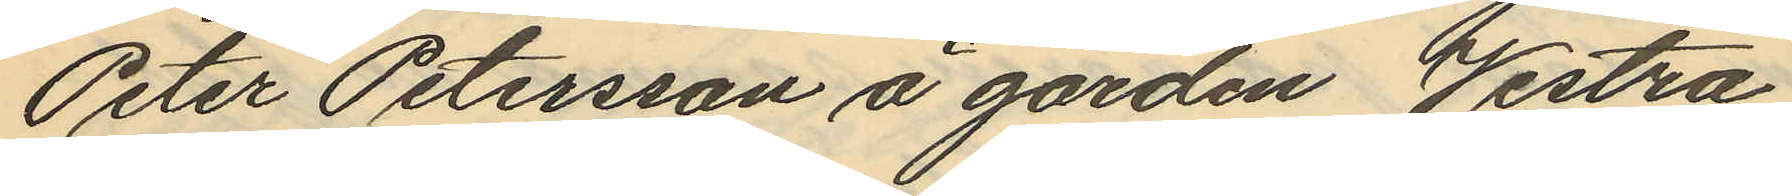Peter Petersson å gården Vestra
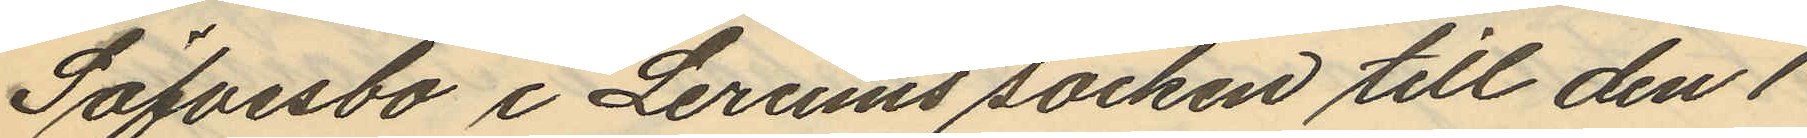Säfvesbo i Lerums socken till den 1
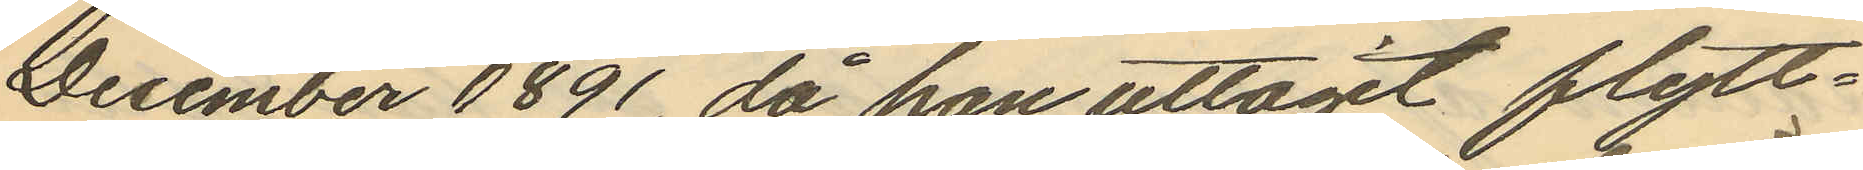December 1891, då han uttagit flytt¬
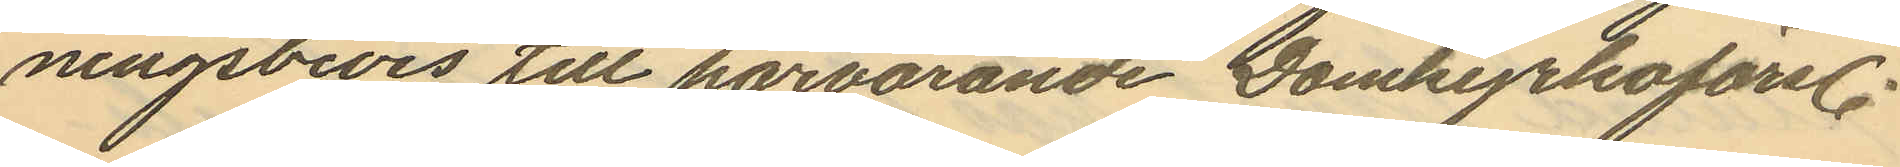ningsbevis till härvarande Domkyrkoförs.
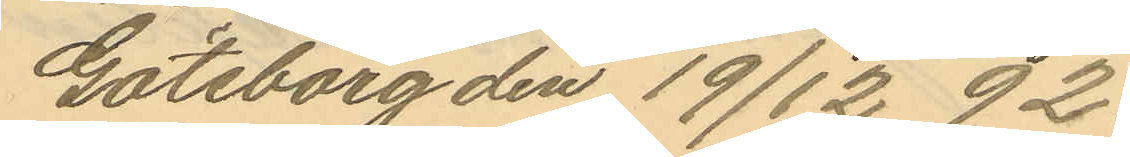Göteborg den 19/12 92.
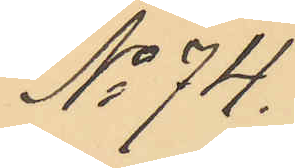No 74.
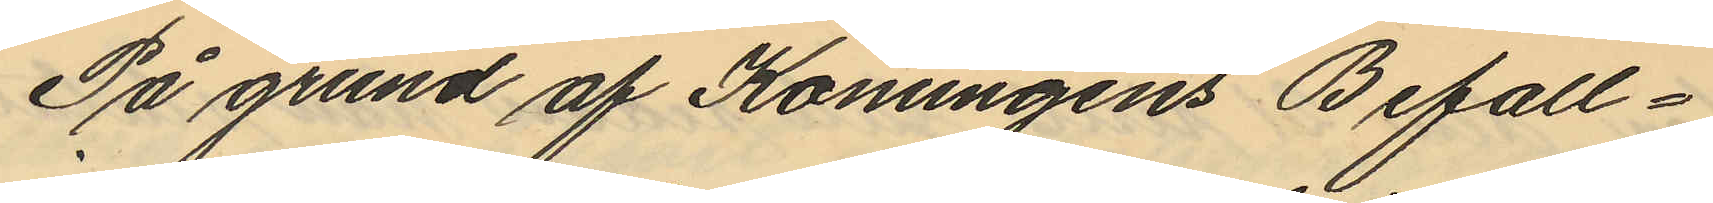På grund af Konungens Befall¬
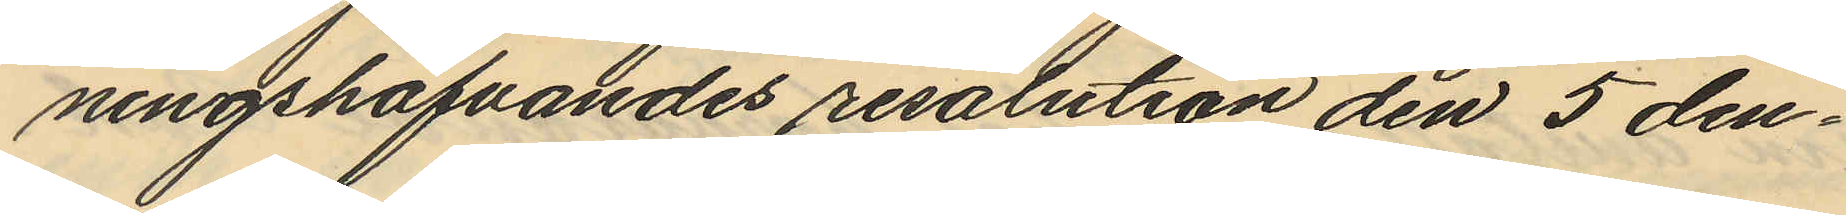ningshafvandes resolution den 5 den¬
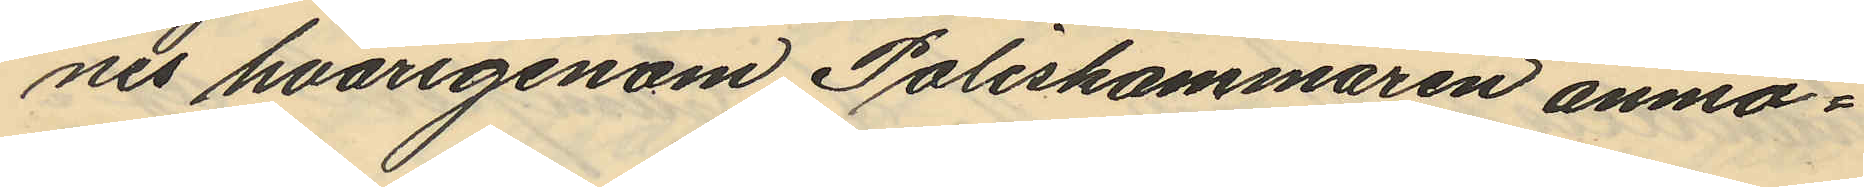nes hvarigenom Poliskammaren anmo¬
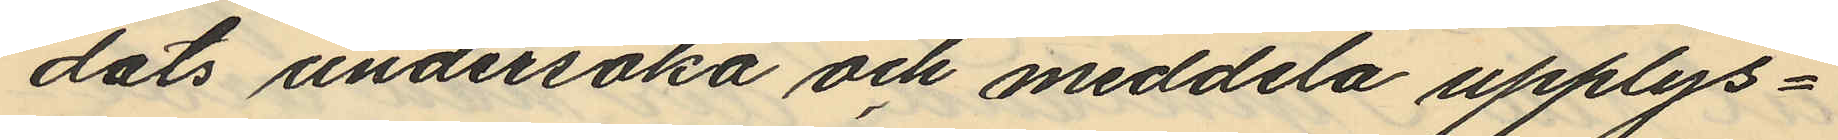dats undersöka och meddela upplys¬
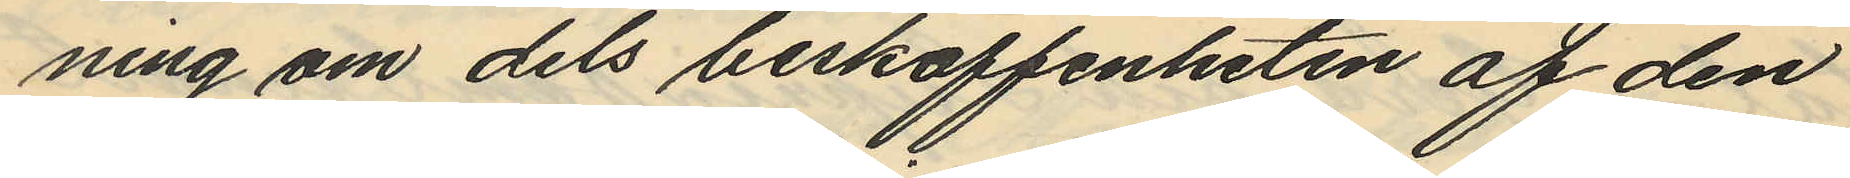ning om dels beskaffenheten af den
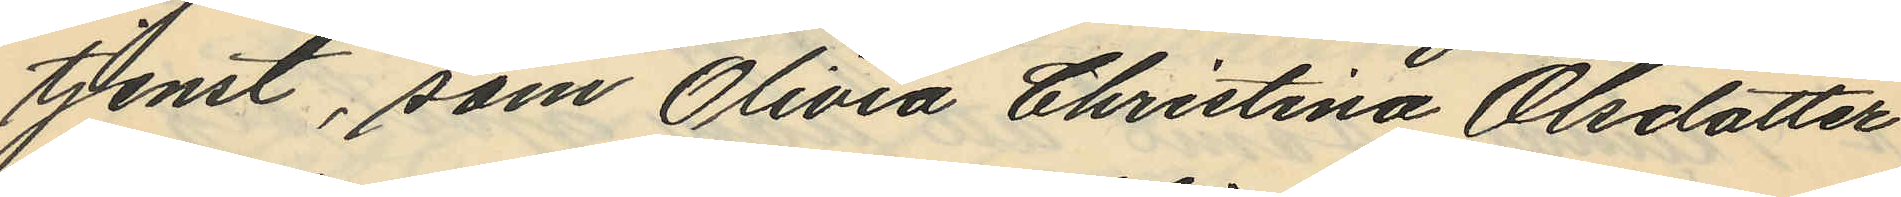tjenst, som Olivia Christina Olsdotter
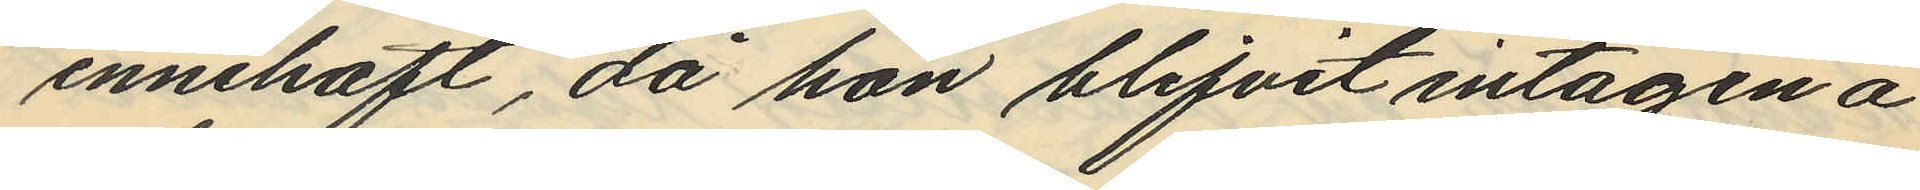innehaft, då hon blifvit intagen å
